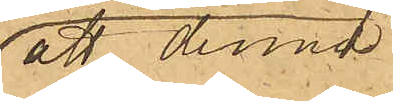att denna
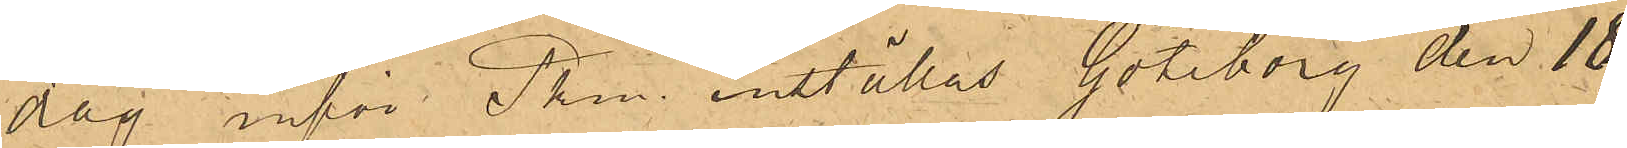dag inför Pkm inställas. Göteborg den 18
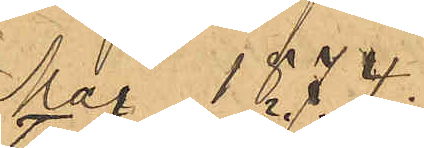Maj 1874.
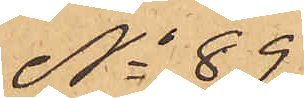No 89
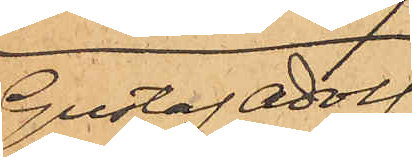Gustaf Adolf
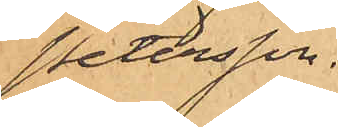Petersson.
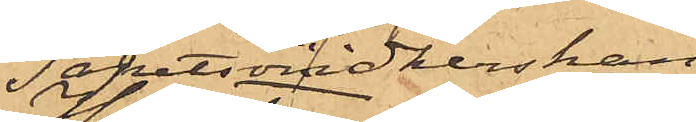Tapetsöridkerskan
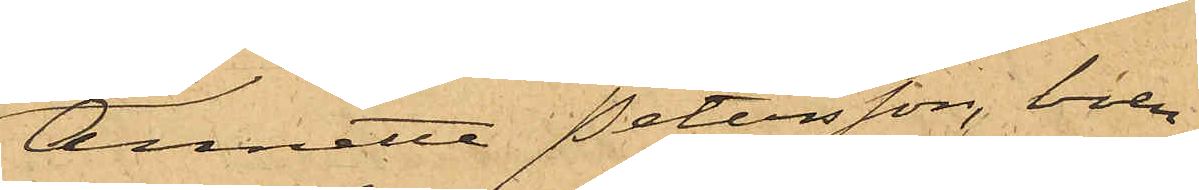Annette Petersson, boen¬
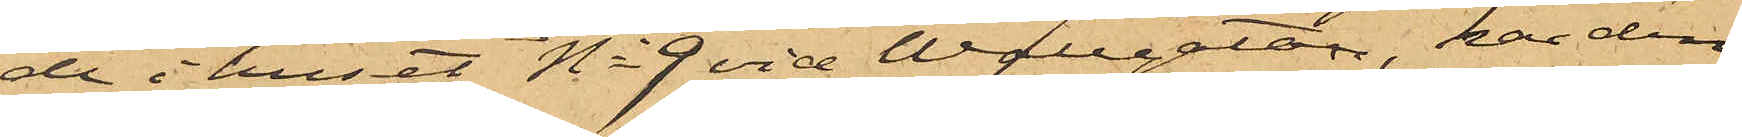de i huset No 9 vid Wallgatan, har den
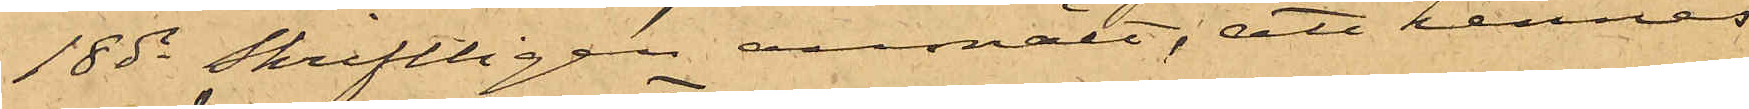18 ds skriftligen anmält, att hennes
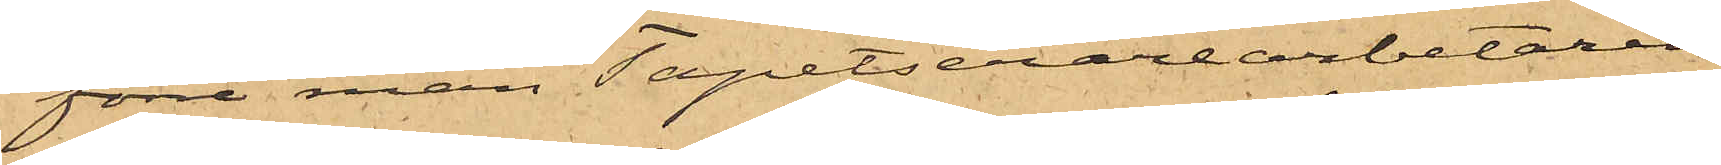förre man Tapetserarearbetaren
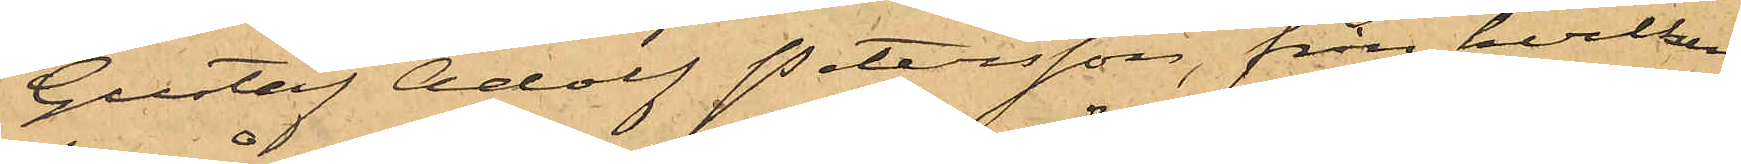Gustaf Adolf Petersson, från hvilken
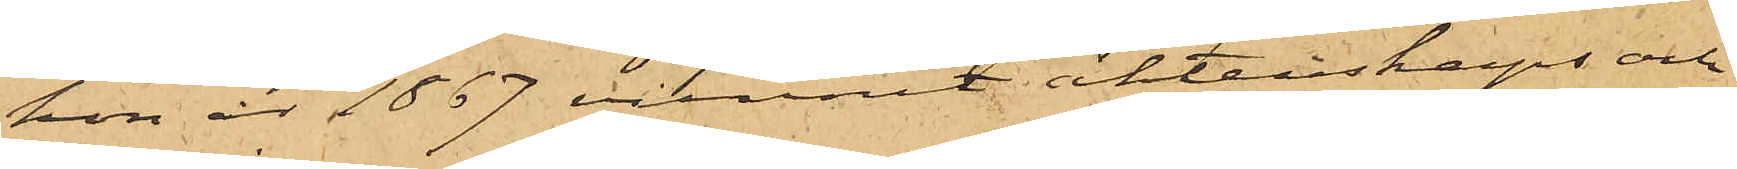hon år 1867 vunnit äktenskaps och
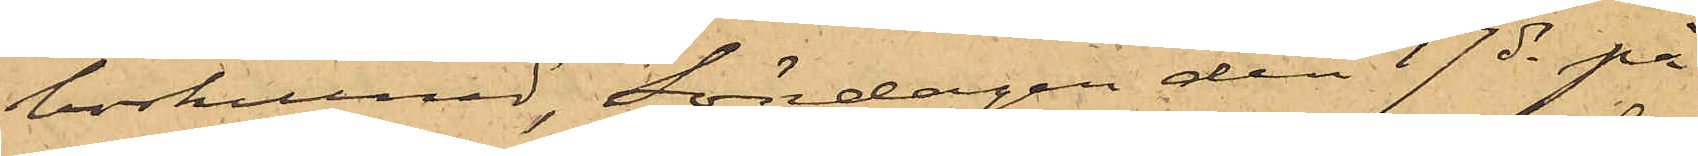boskillnad, Söndagen den 17 ds på
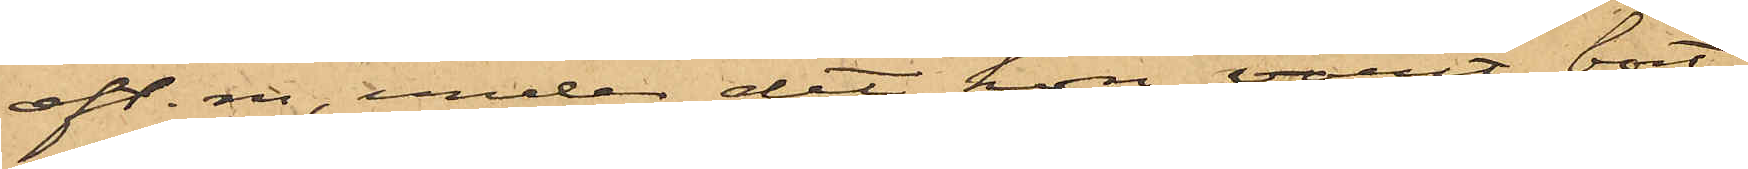eft. m, under det hon varit bort¬
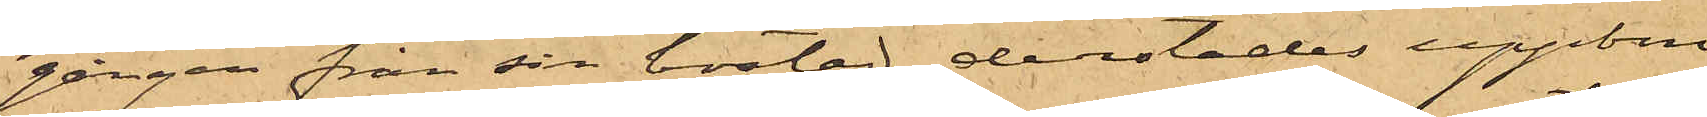gången från sin bostad, derstädes uppbru¬
